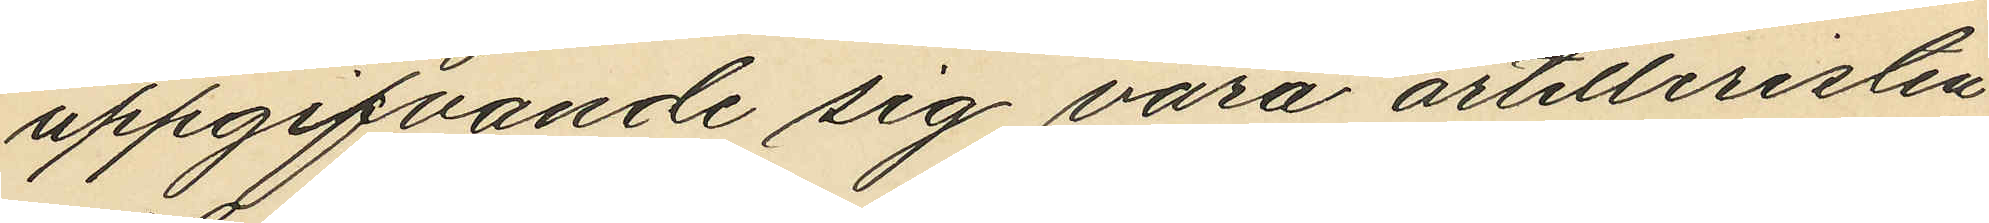uppgifvande sig vara artilleristen
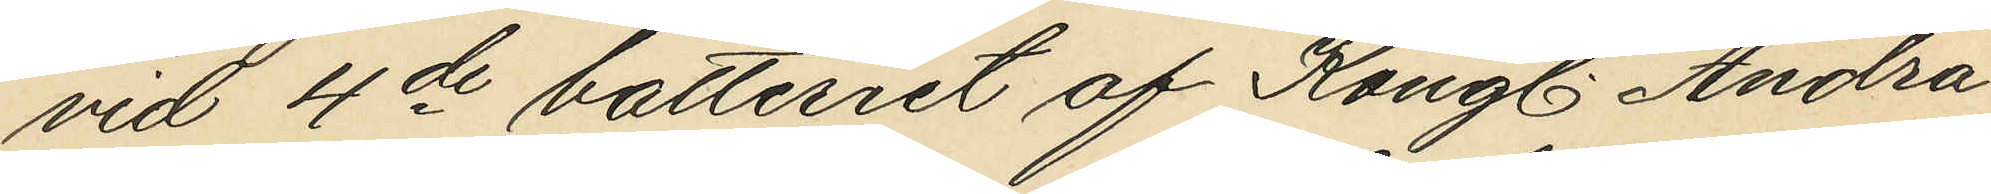vid 4de batteriet af Kongl. Andra
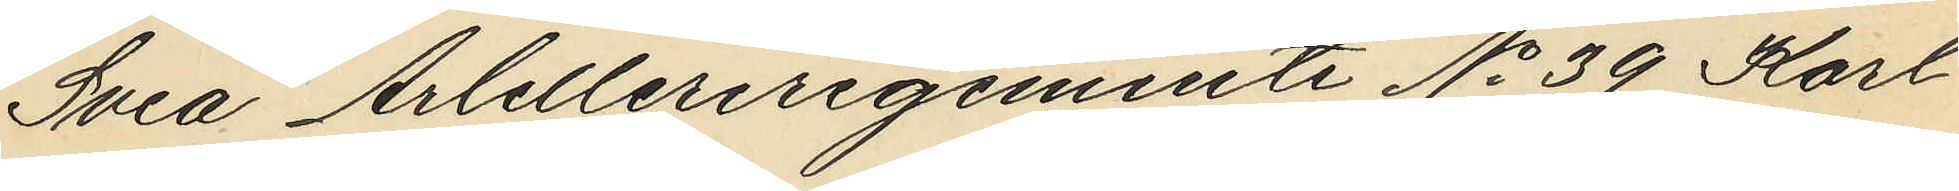Svea Artelleriregemente No 39 Karl
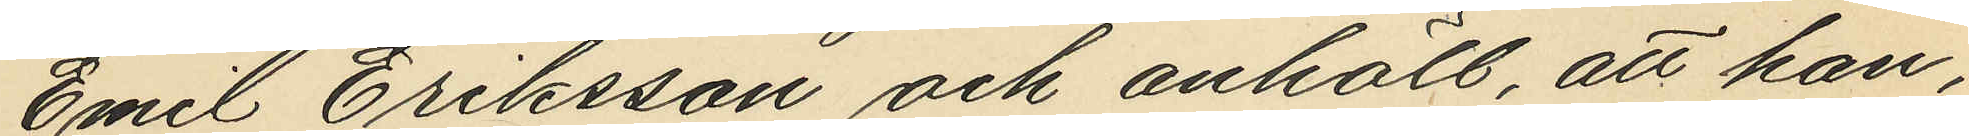Emil Eriksson och anhöll, att han,
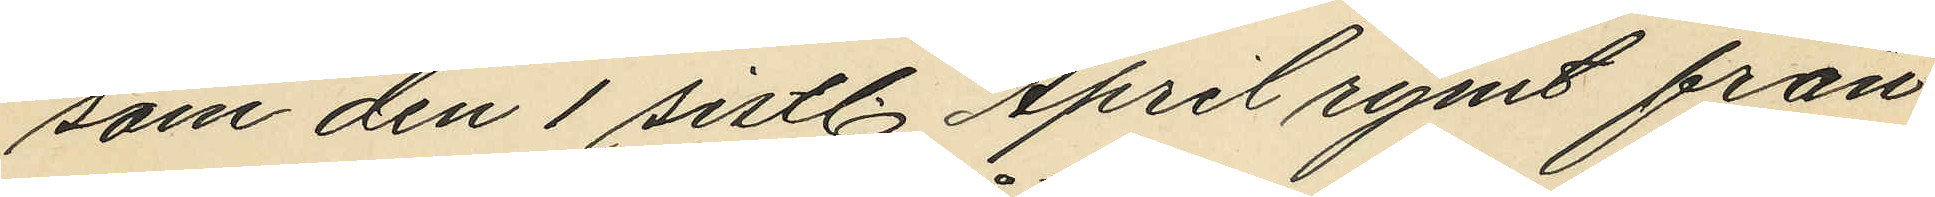som den 1 sistl. April rymt från
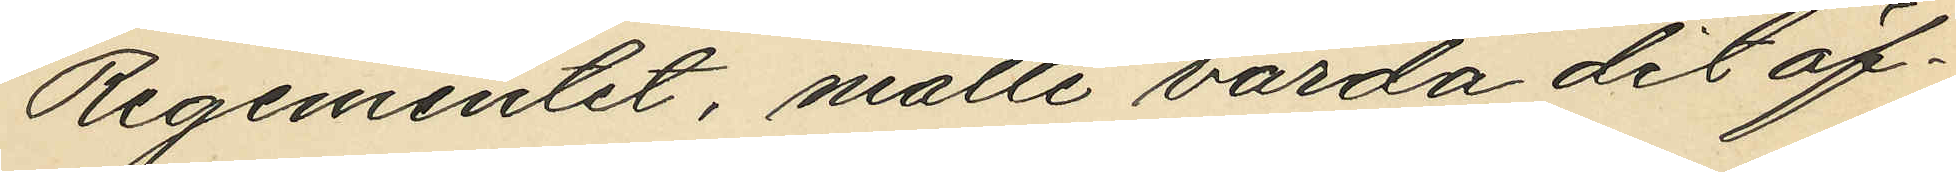Regementet, måtte varda dit öf¬
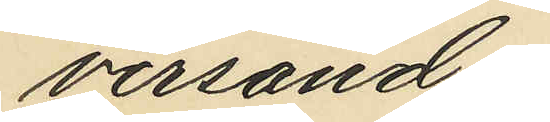versänd.
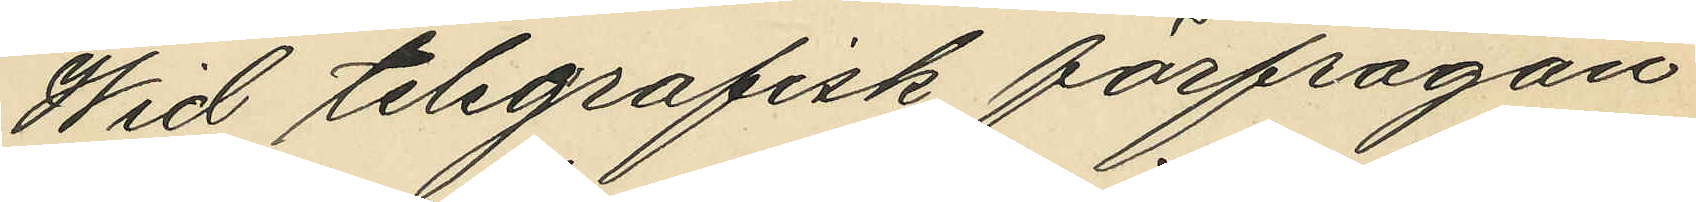Wid telegrafisk förfrågan
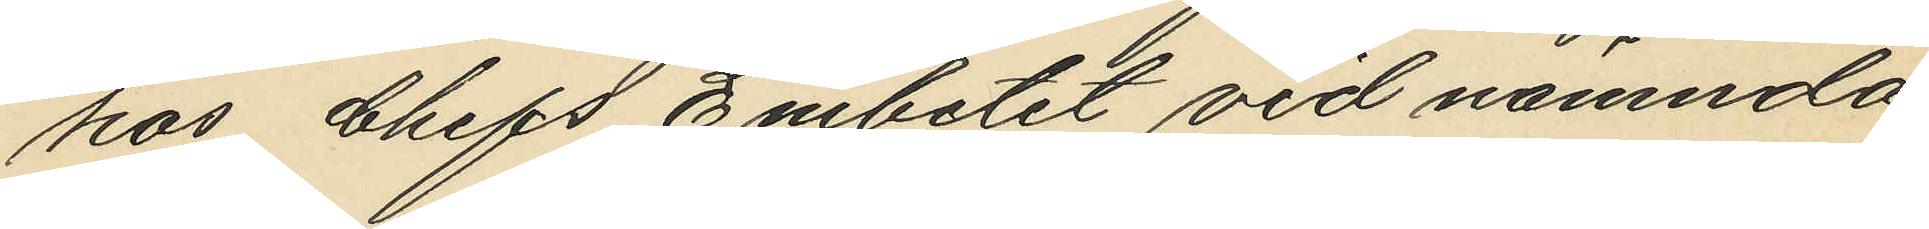hos Chefs Embetet vid nämnda
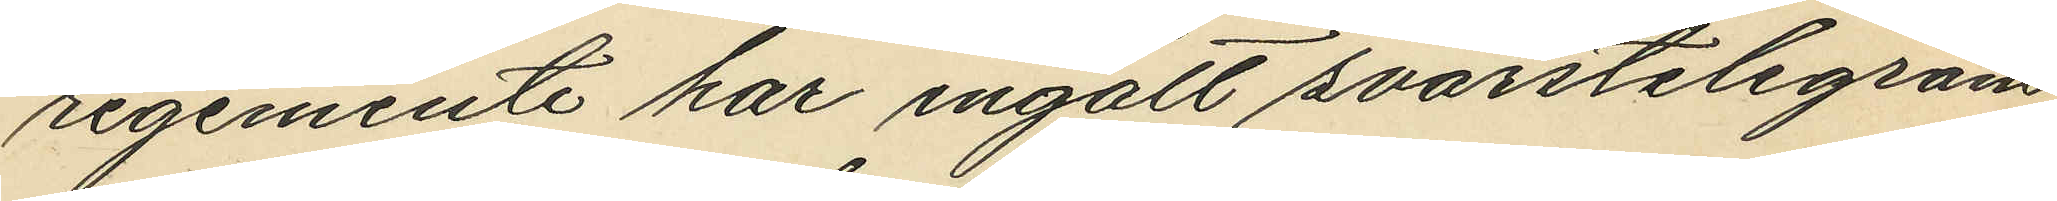regemente har ingått svarstelegram
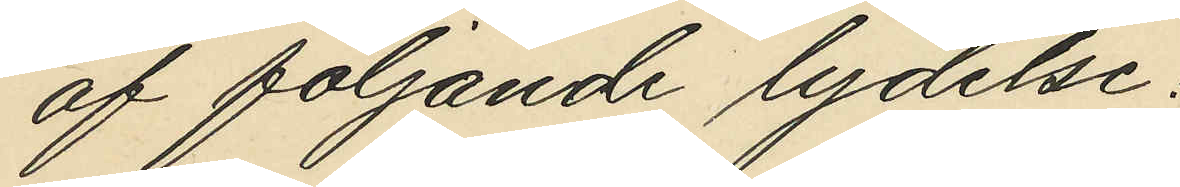af följande lydelse:
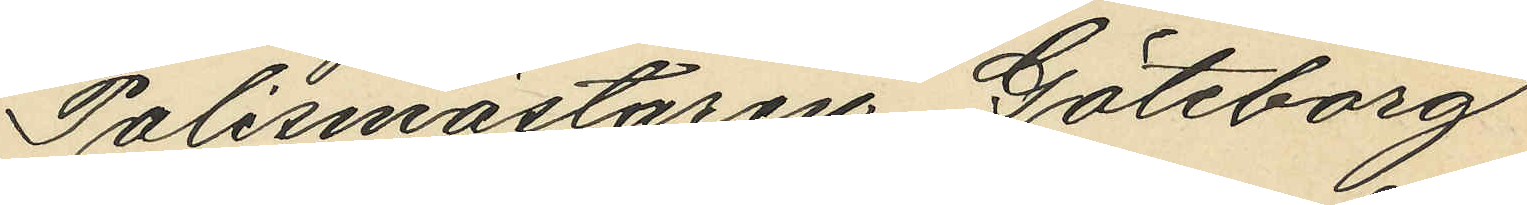"Polismästaren Göteborg
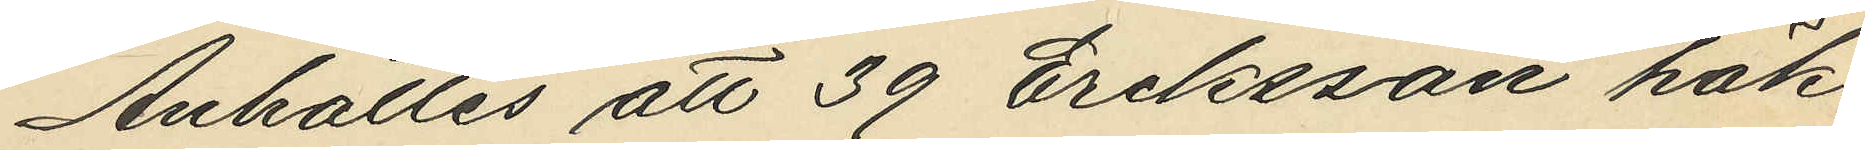Anhålles att 39 Eriksson häk¬
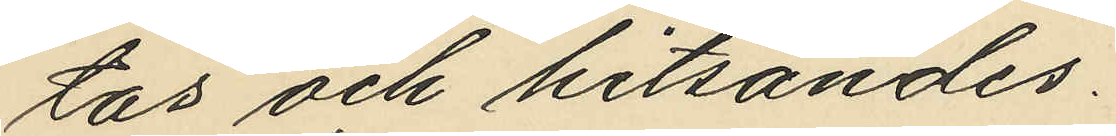tas och hitsändes.
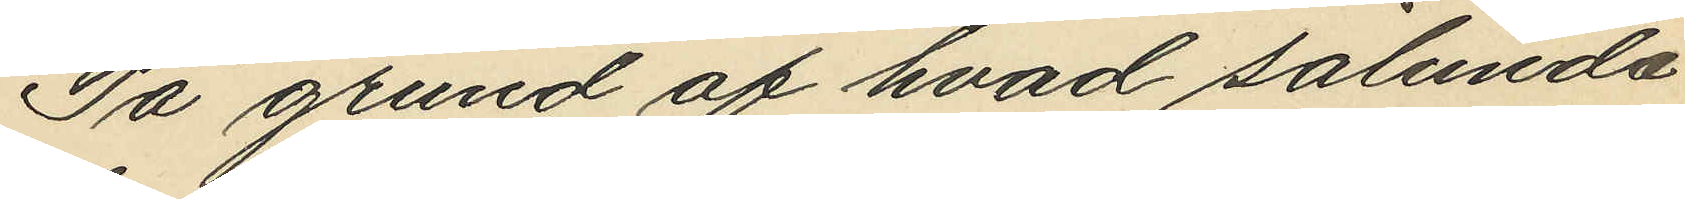På grund af hvad sålunda
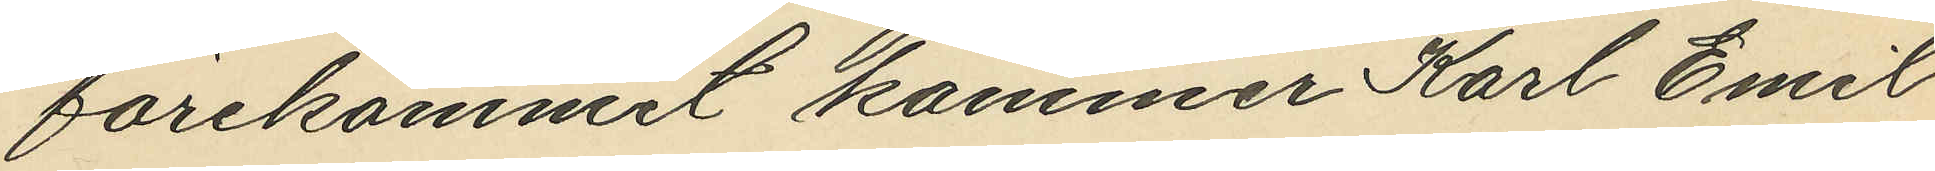förekommit kommer Karl Emil
